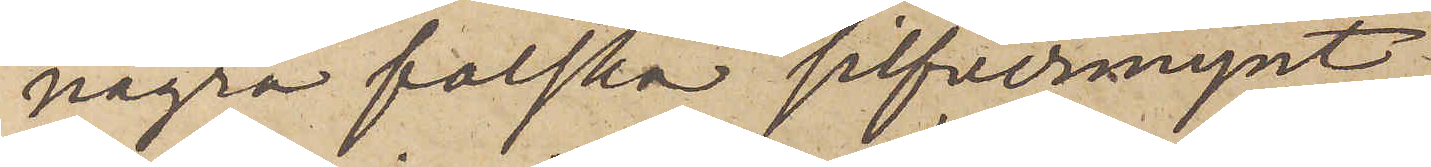några falska silfvermynt
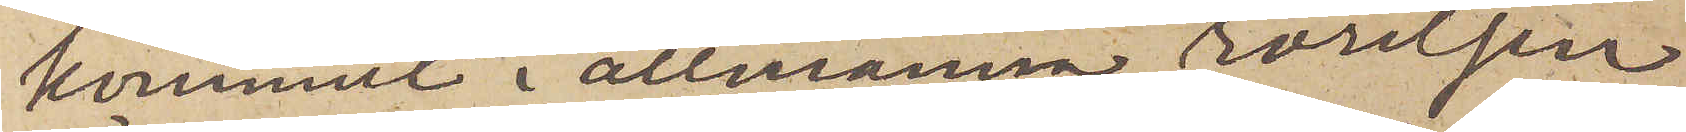kommit i allmänna rörelsen
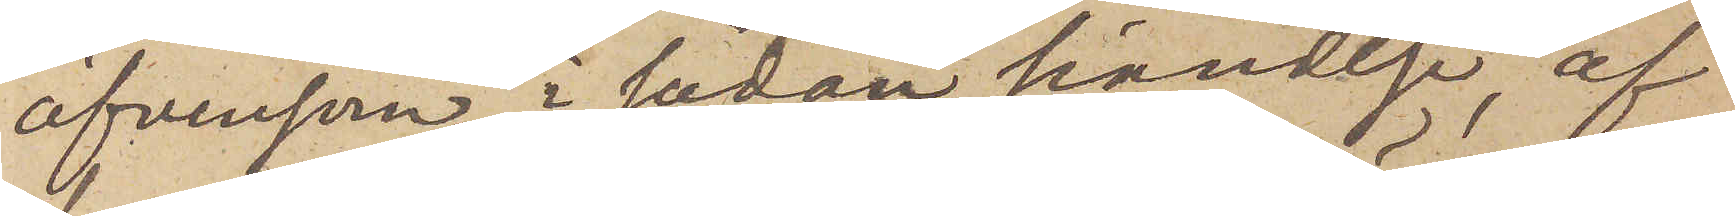äfvensom, i sådan händelse, af
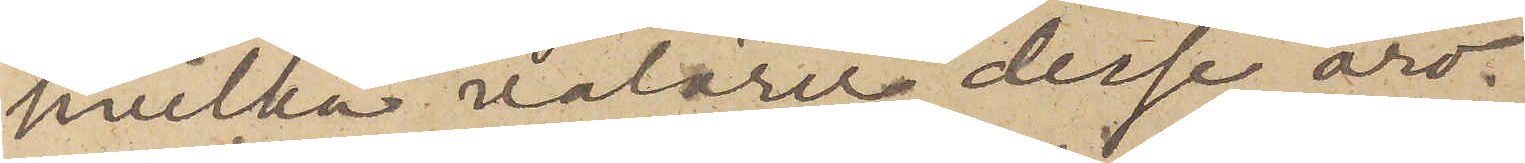hvilka valörer desse äro.
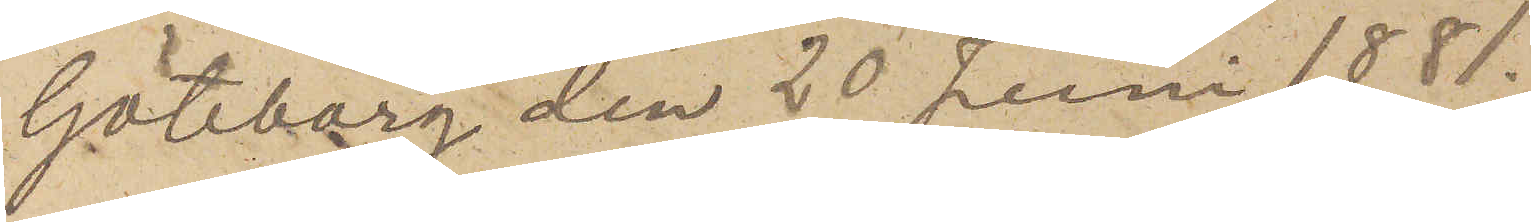Göteborg den 20 Juni 1881.
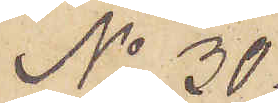No 30.
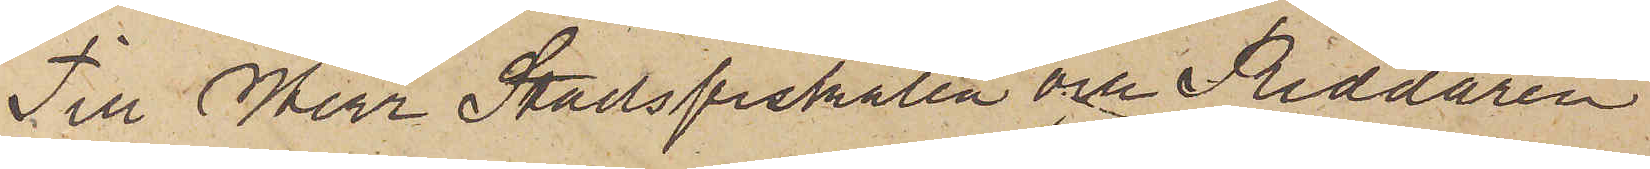Till Herr Stadsfiskalen och Riddaren
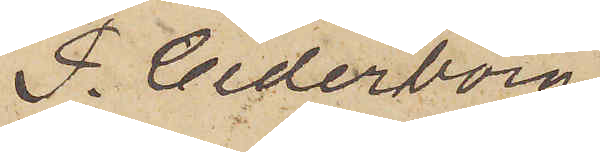P. Cederborg.
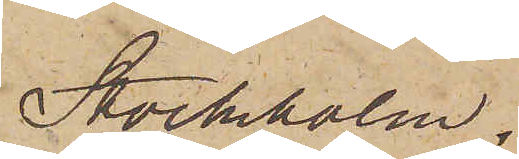Stockholm.
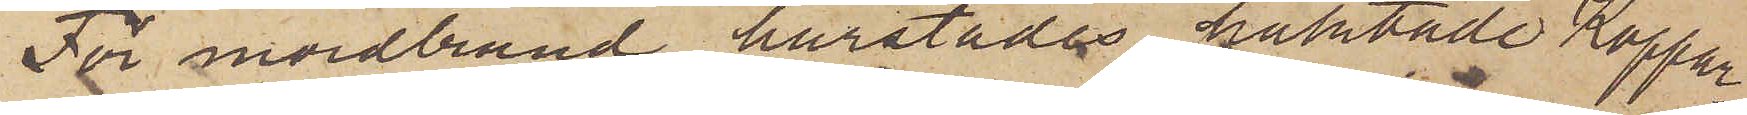För mordbrand härstädes häktade Koppar¬
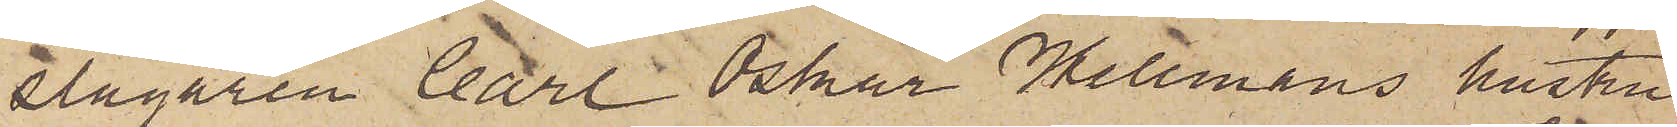slagaren Carl Oskar Hellmans hustru
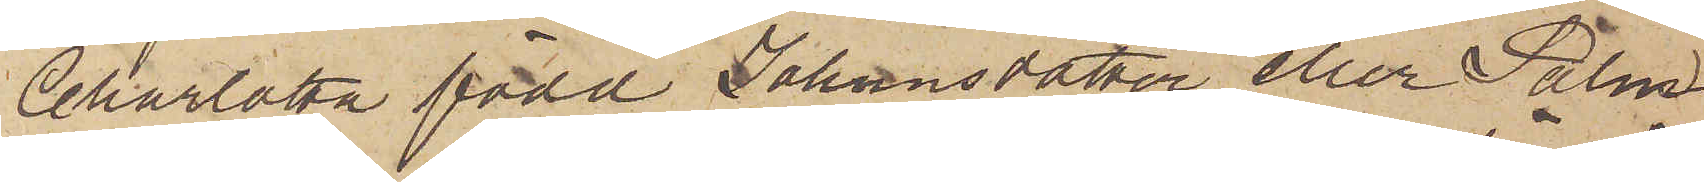Charlotta född Johansdotter eller Palm
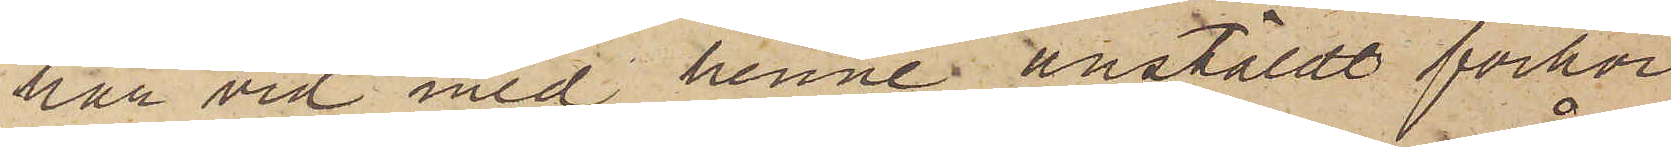har vid med henne anstäldt förhör
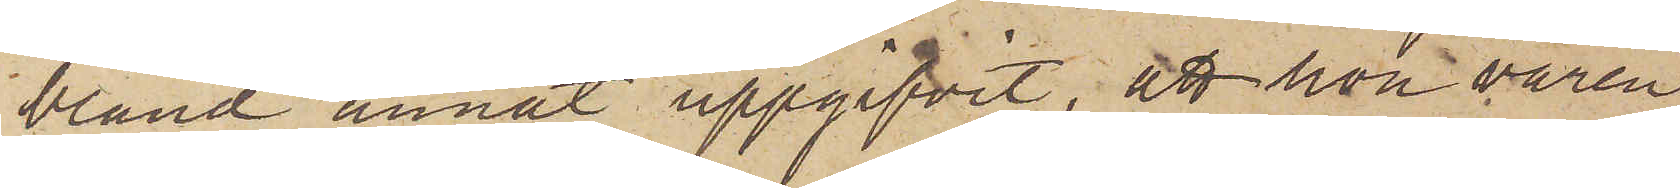bland annat uppgifvit, att hon våren
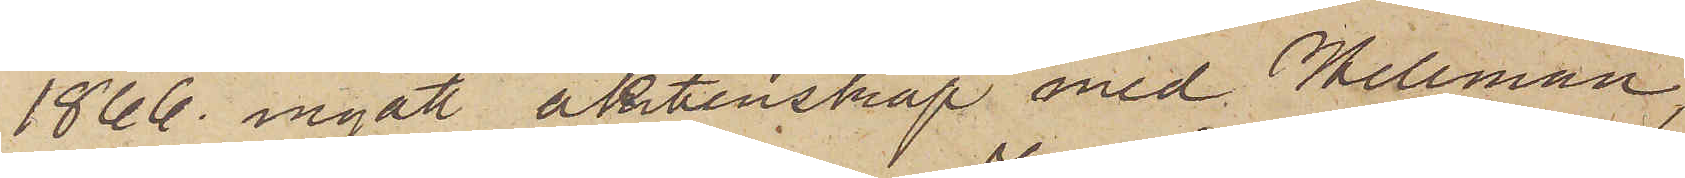1866 ingått äktenskap med Hellman,
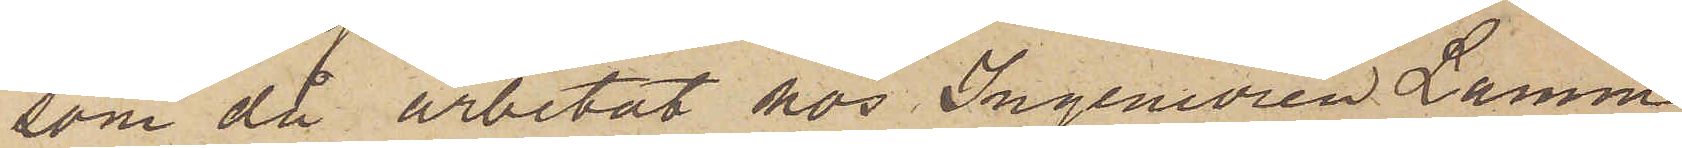som då arbetat hos Ingeniören Lamm,
